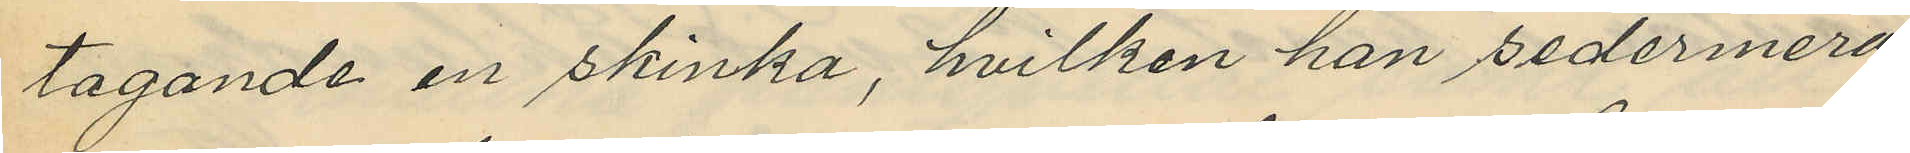tagande en skinka, hvilken han sedermera
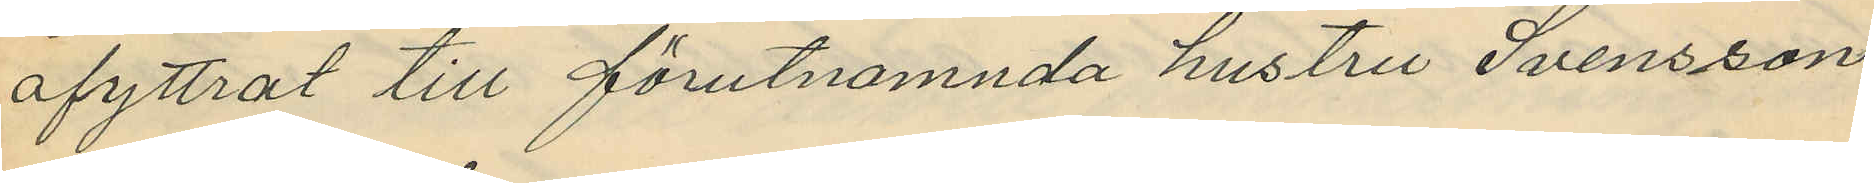afyttrat till förutnamnda hustru Svensson
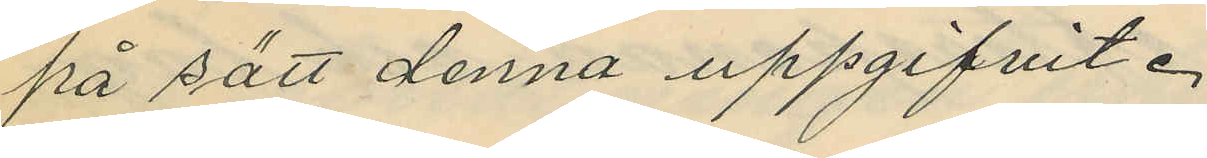på sätt denna uppgifvit.
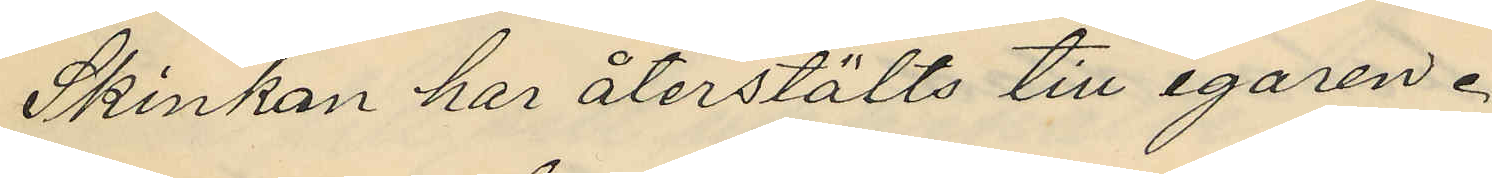Skinkan har återstälts till egaren.
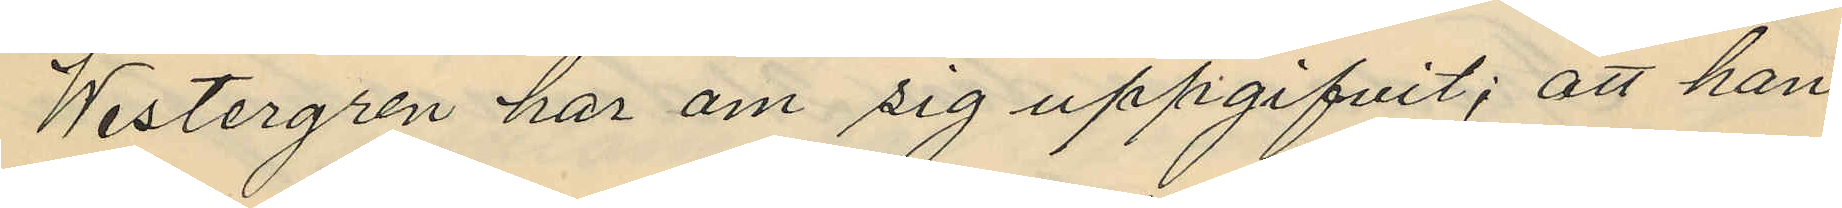Westergren har om sig uppgifvit; att han
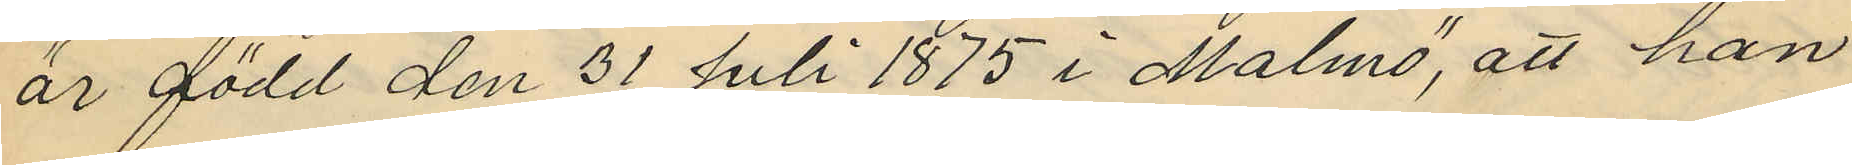är född den 31 Juli 1875 i Malmö, att han
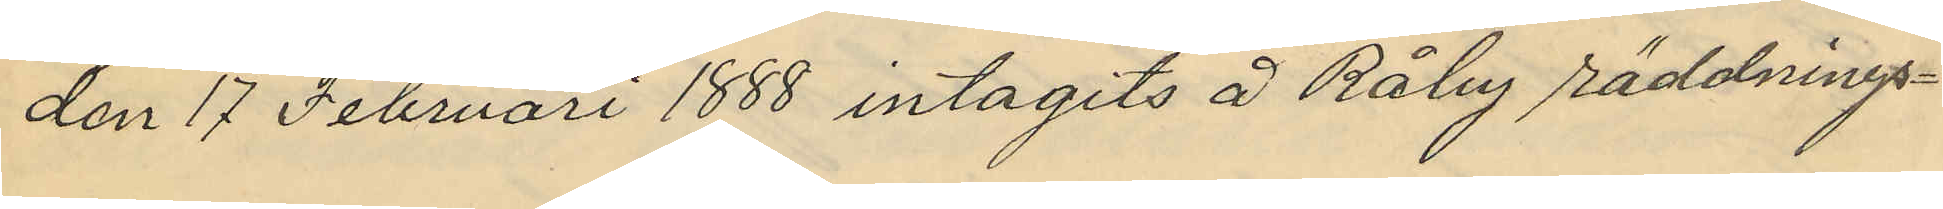den 17 Februari 1888 intagits å Råby räddnings¬
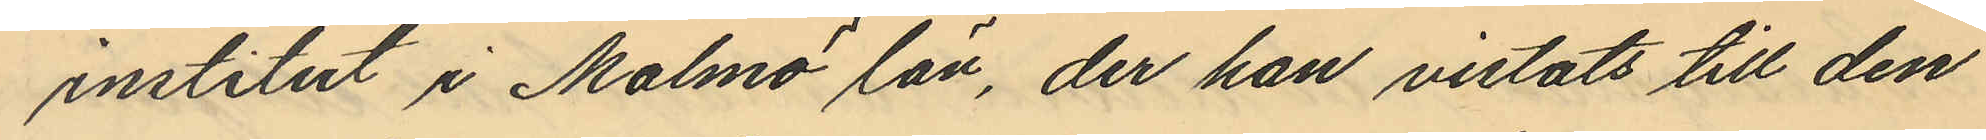institut i Malmö län, der han vistats till den
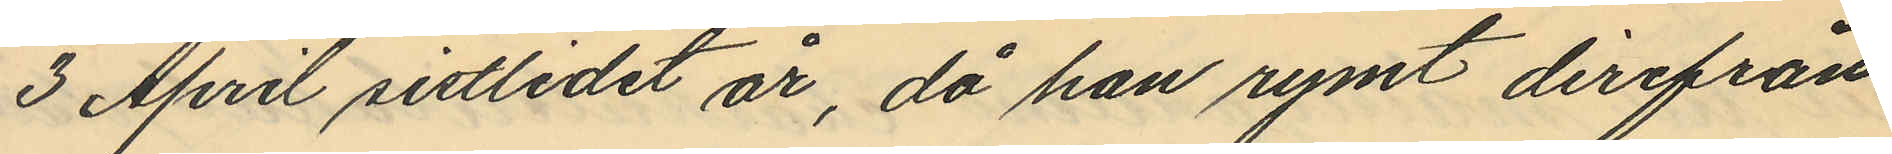3 April sistlidet år, då han rymt derifrån
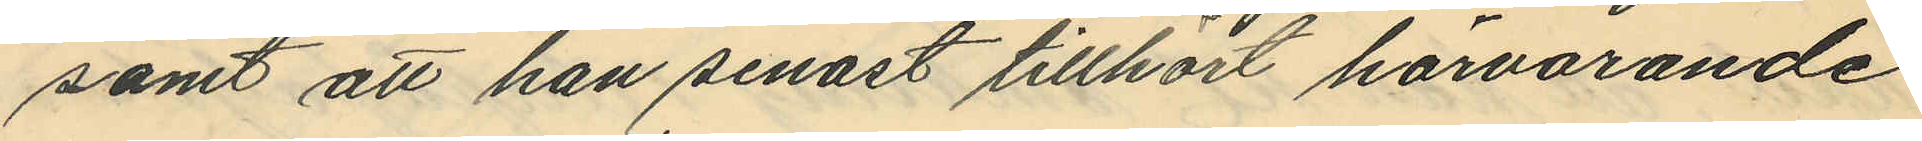samt att han senast tillhört härvarande
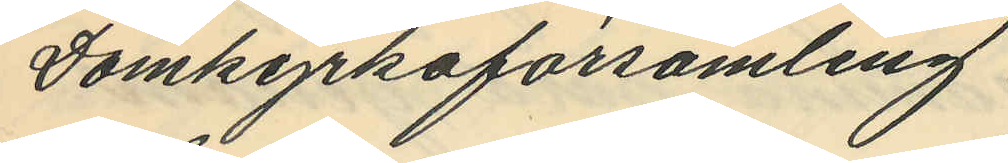Domkyrkoförsamling.
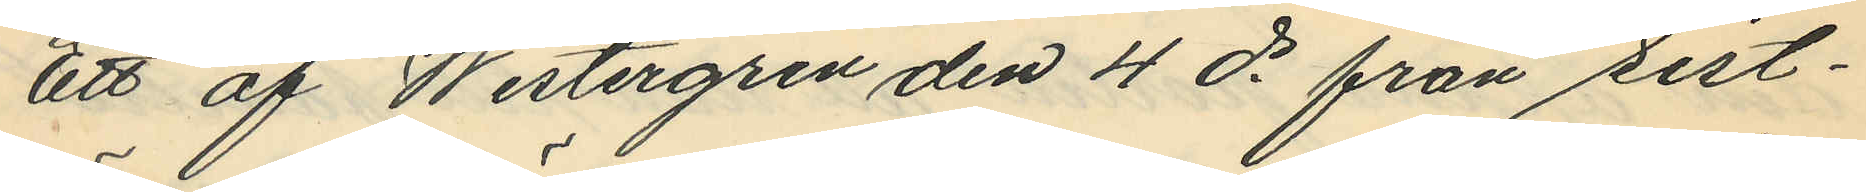Ett af Westergren den 4 ds från sist¬
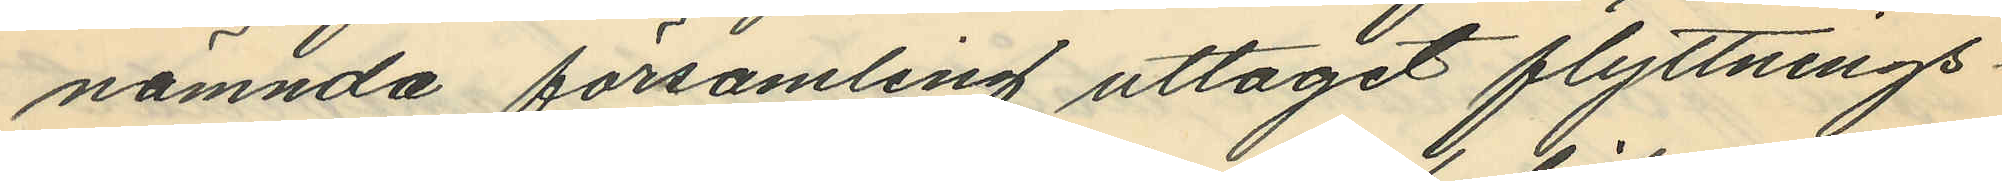nämnda församling uttagit flyttnings¬
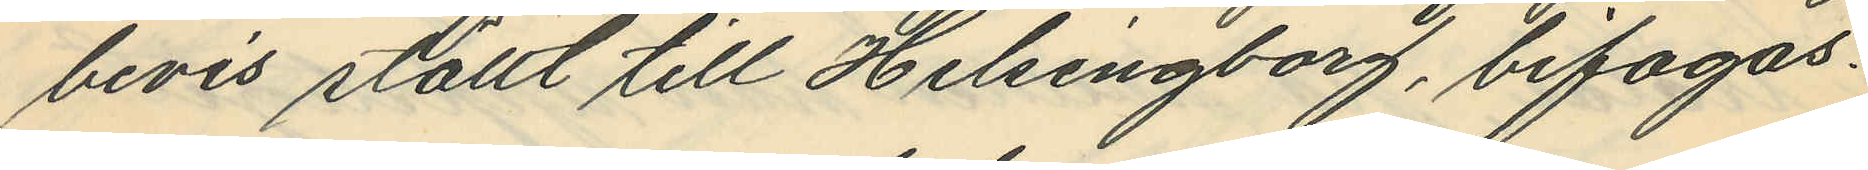bevis ställt till Helsingborg, bifogas.
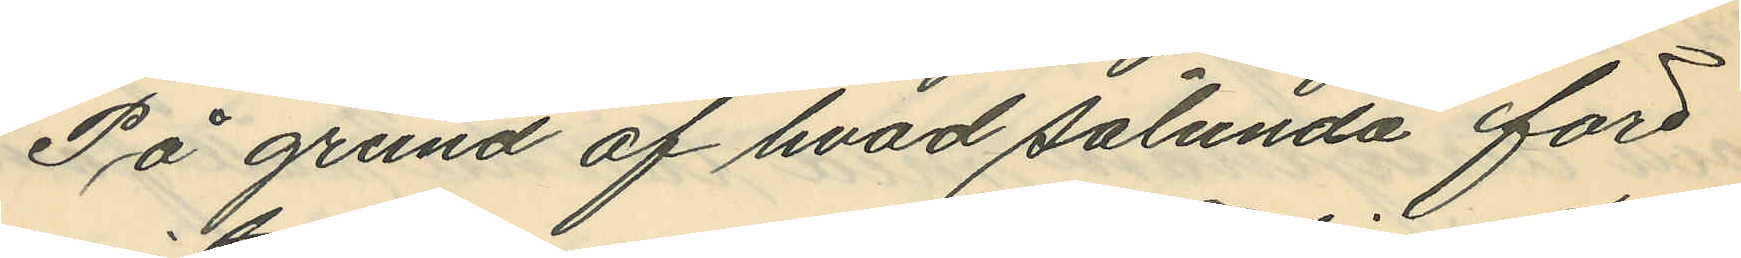På grund af hvad sålunda före¬
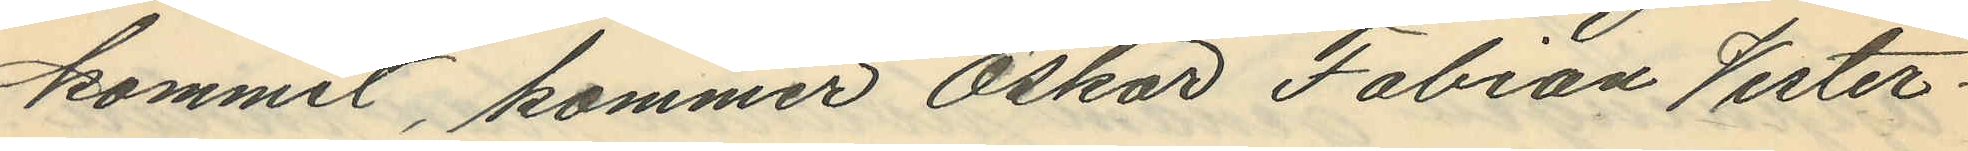kommit, kommer Oskar Fabian Vester¬
